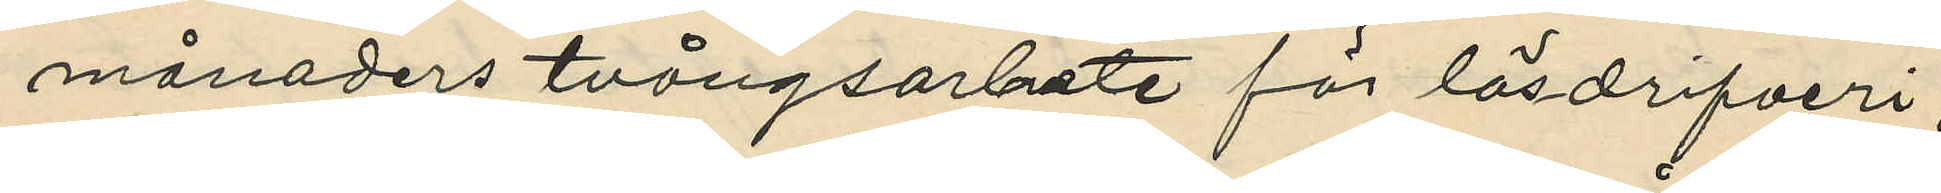månaders tvångsarbete för lösdrifveri,
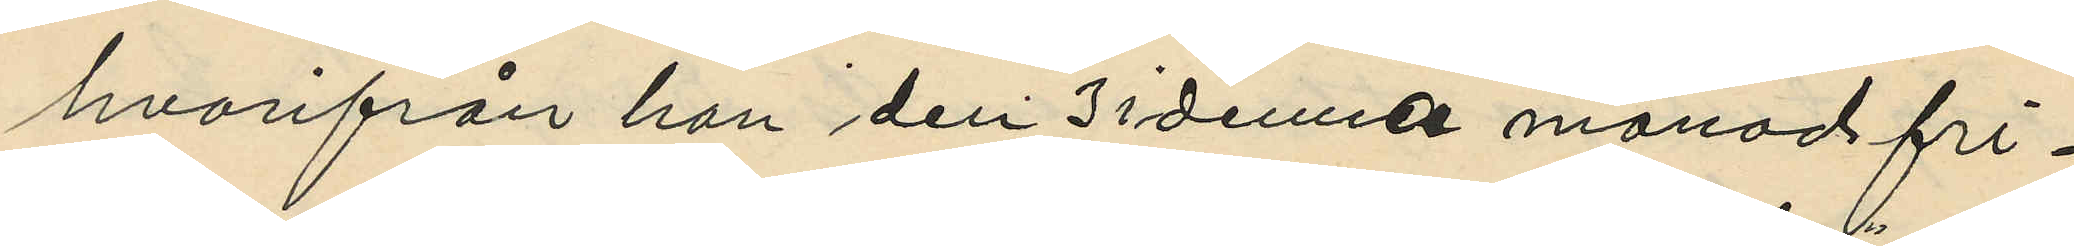hvarifrån han den 3 i denna månad fri¬
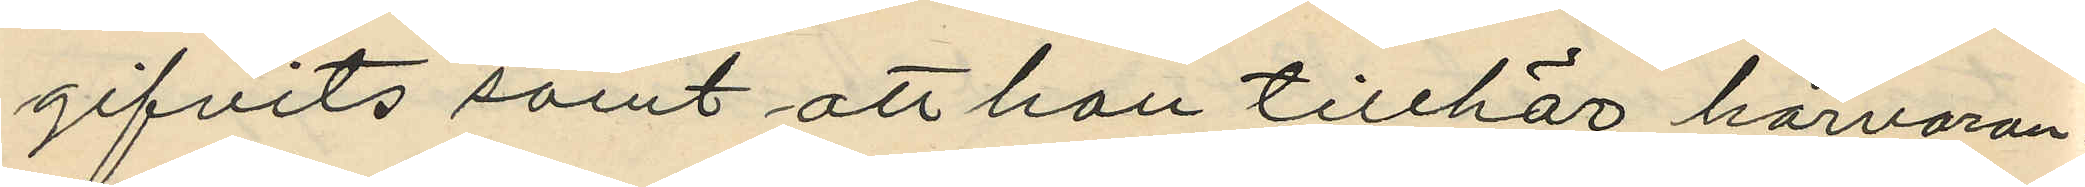gifvits samt att han tillhör härvaran¬
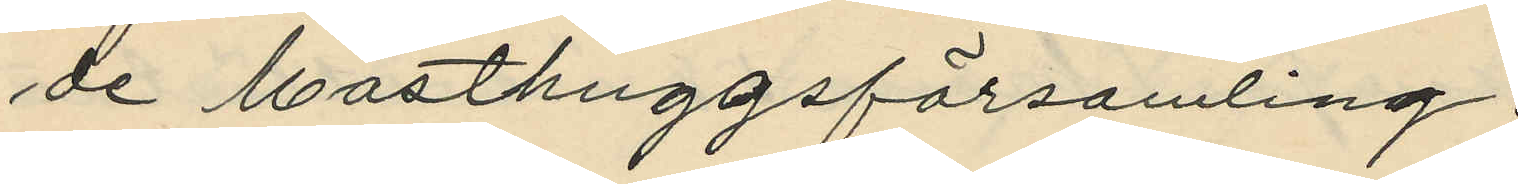de Masthuggsförsamling.
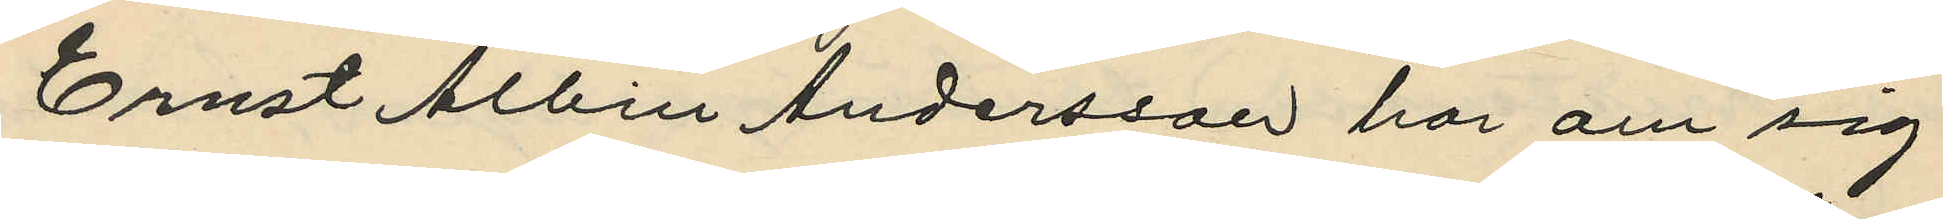Ernst Albin Andersson har om sig
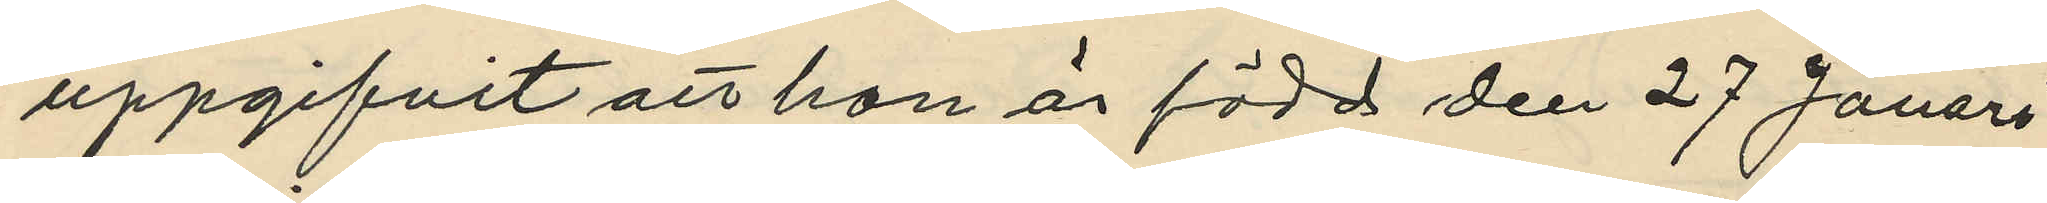uppgifvit att han är född den 27 Jauari
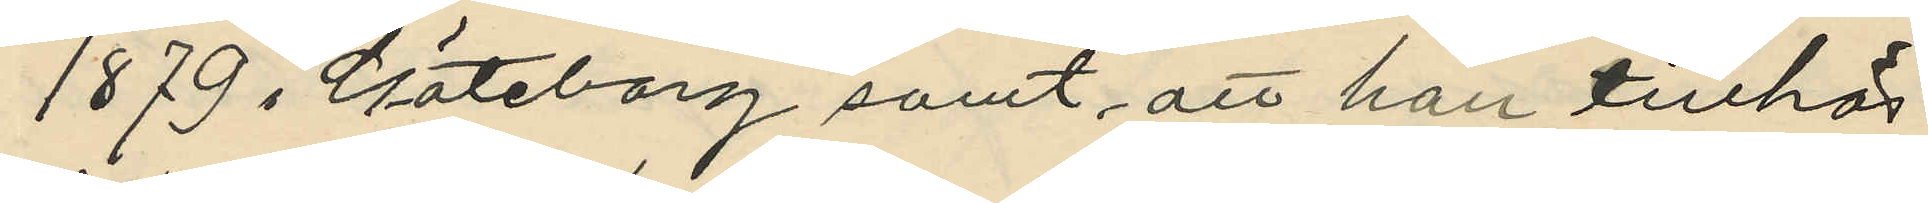1879 i Göteborg samt att han tillhör
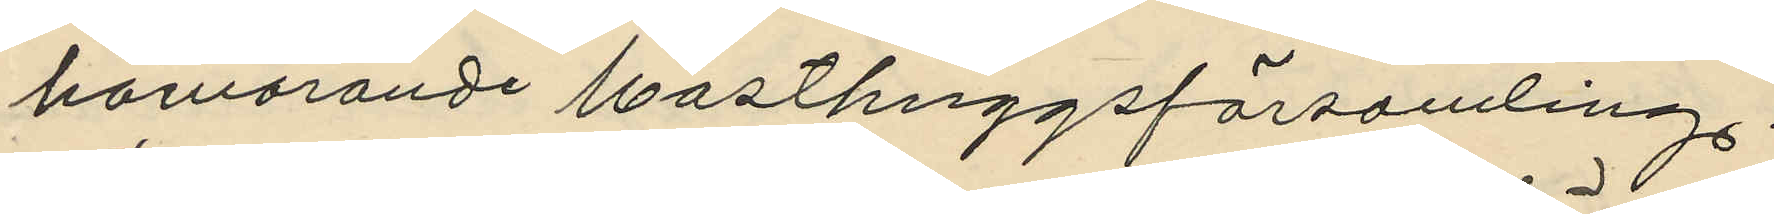härvarande Masthuggsförsamling.
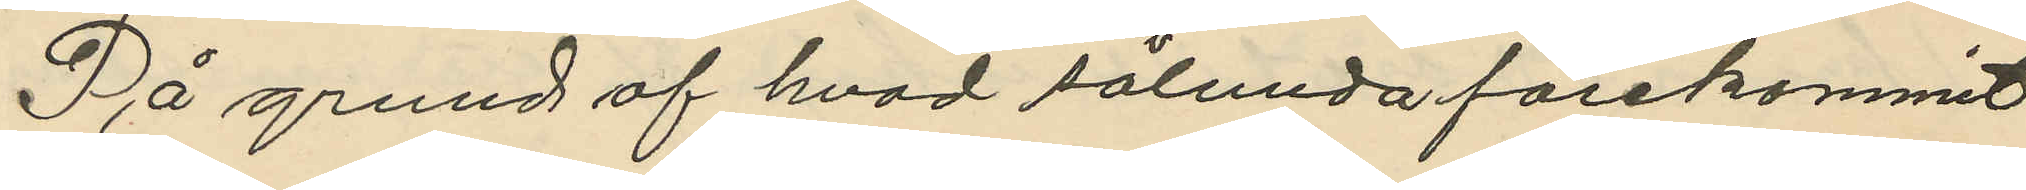På grund af hvad sålunda förekommit
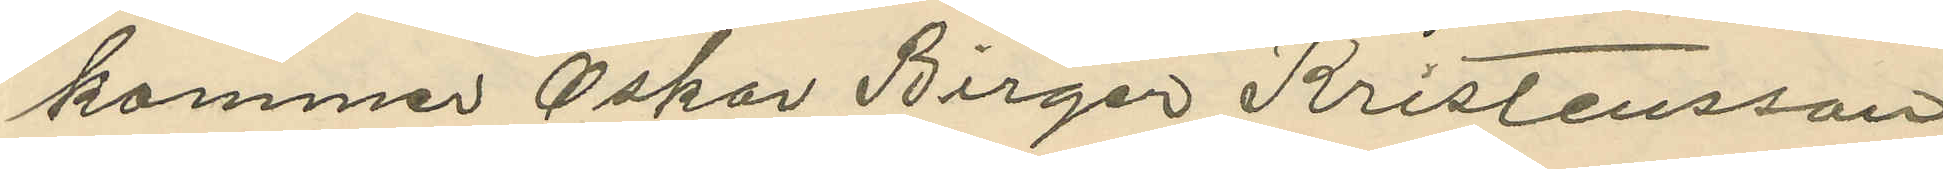kommer Oskar Birger Kristensson
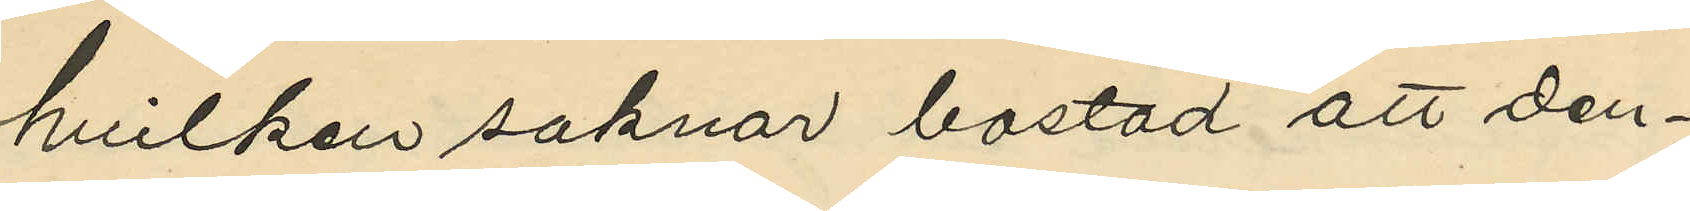hvilken saknar bostad att den¬
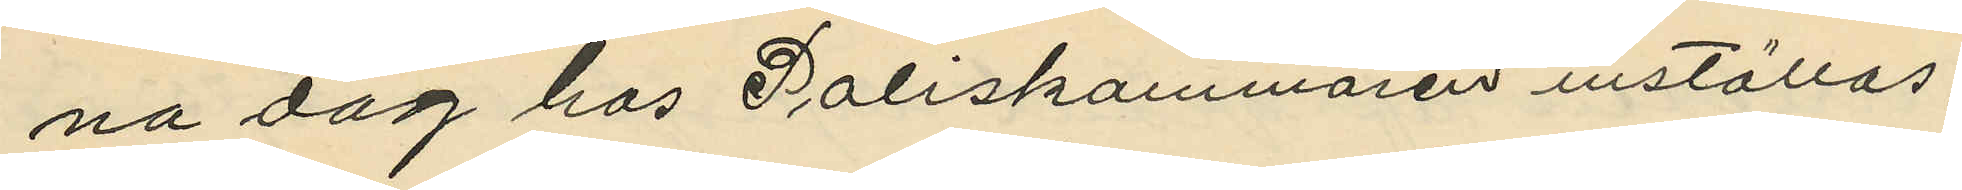na dag hos Poliskammaren inställas,
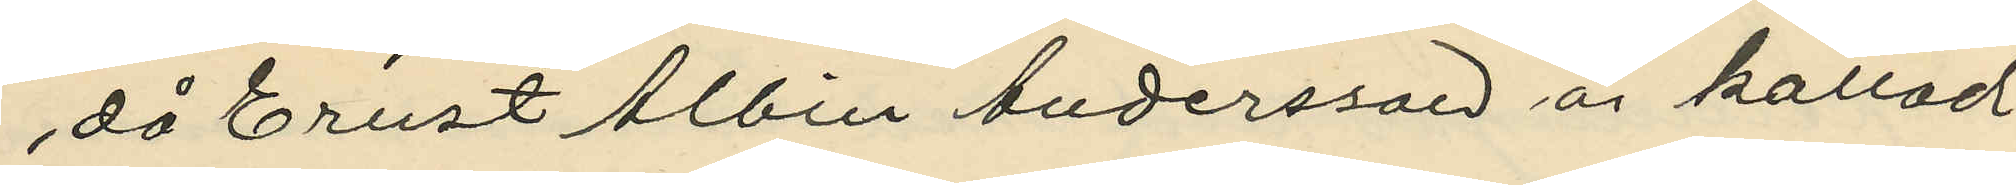då Ernst Albin Andersson är kallad
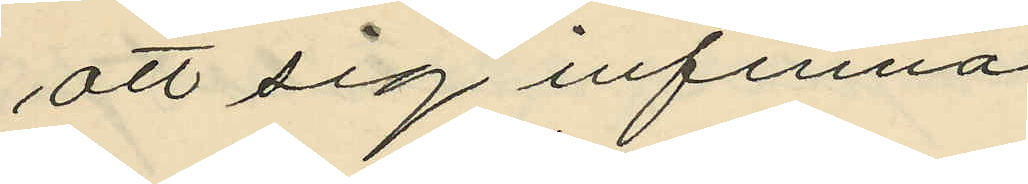att sig infinna.
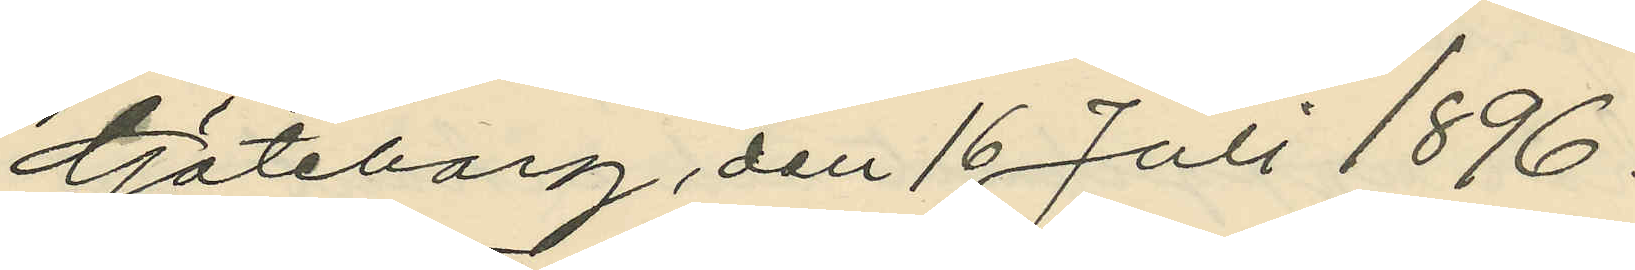Göteborg den 16 Juli 1896.
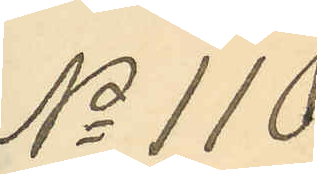No 110
